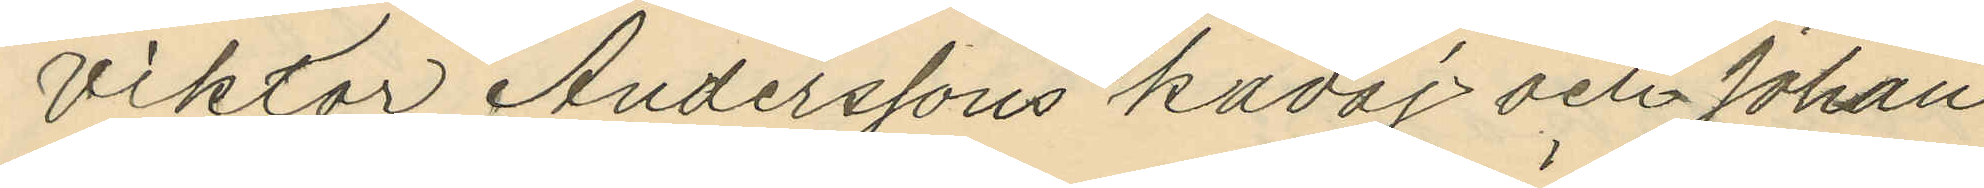Viktor Anderssons kavaj och Johan
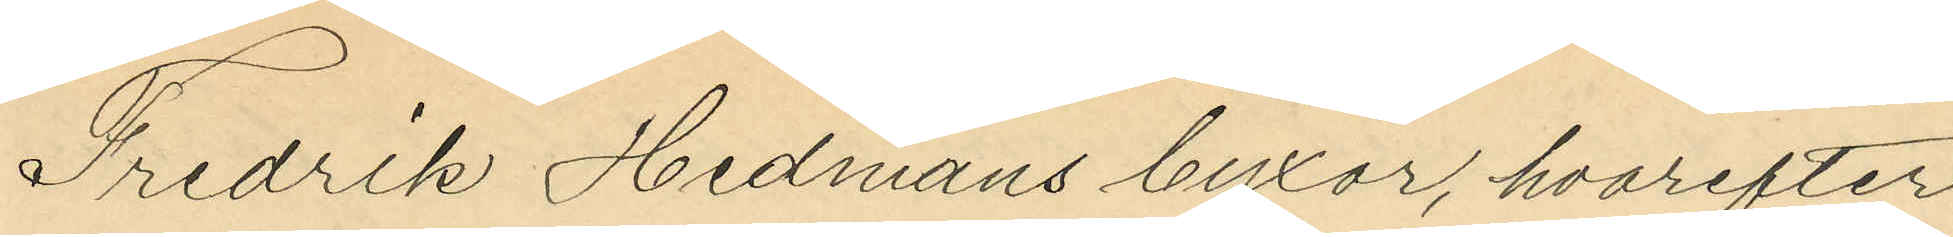Fredrik Hedmans byxor, hvarefter
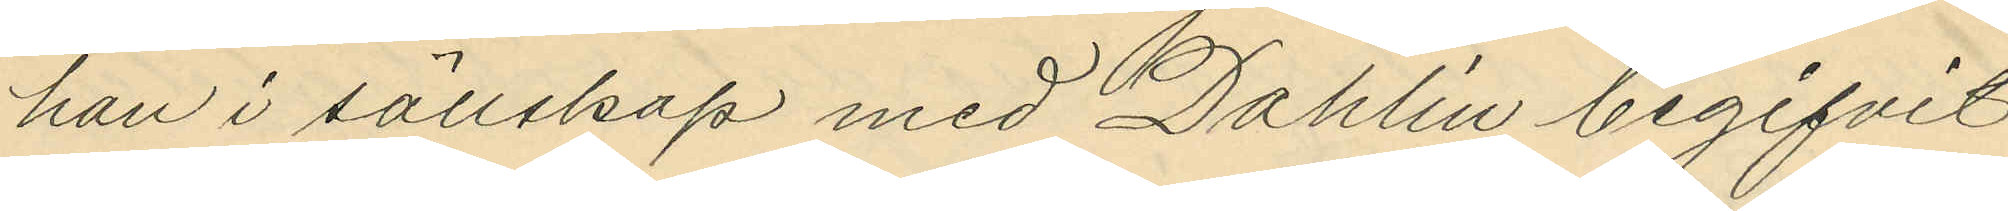han i sällskap med Dahlin begifvit
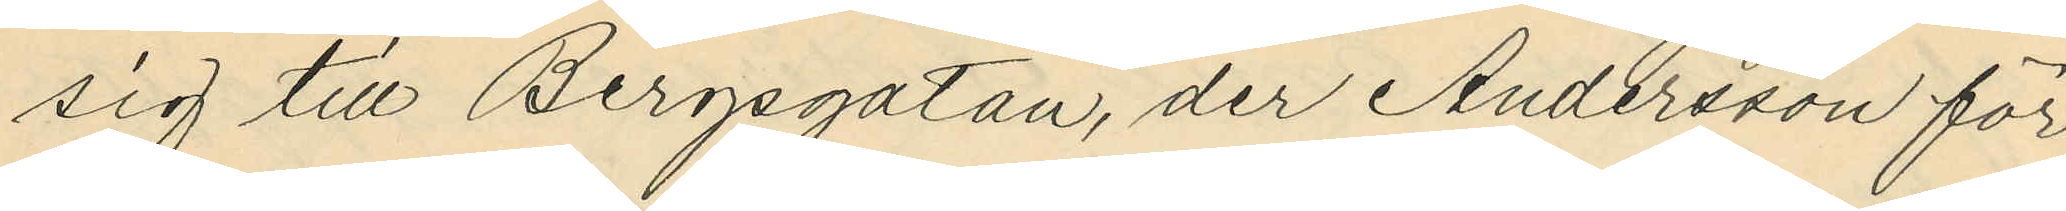sig till Bergsgatan, der Andersson för
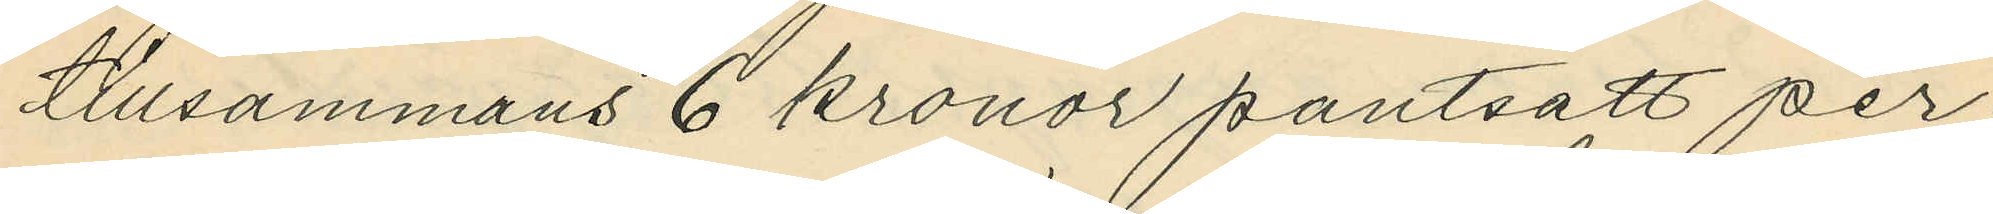tillsammans 6 kronor pantsatt per¬
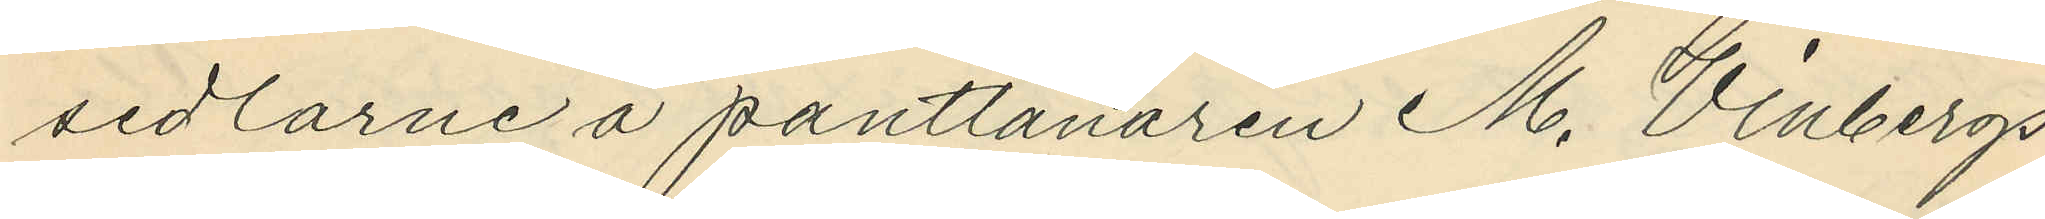sedlarne å pantlånaren M. Vinbergs
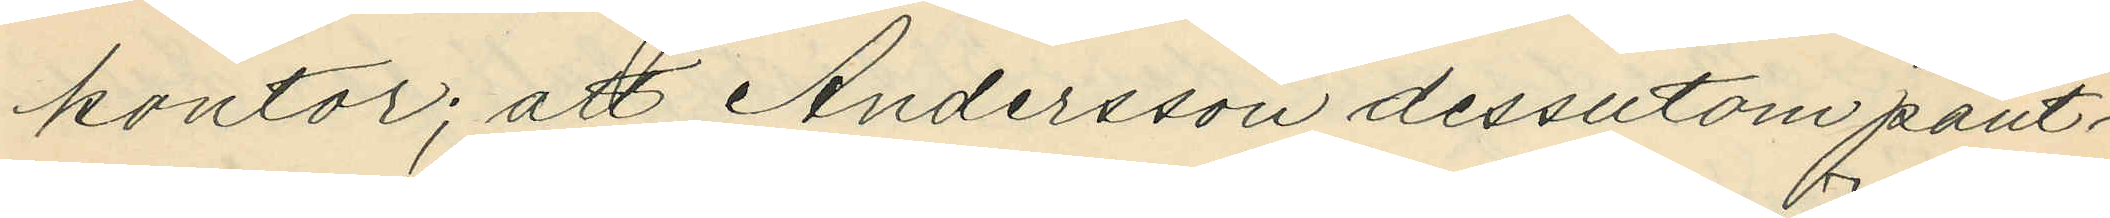kontor; att Andersson dessutom pant¬
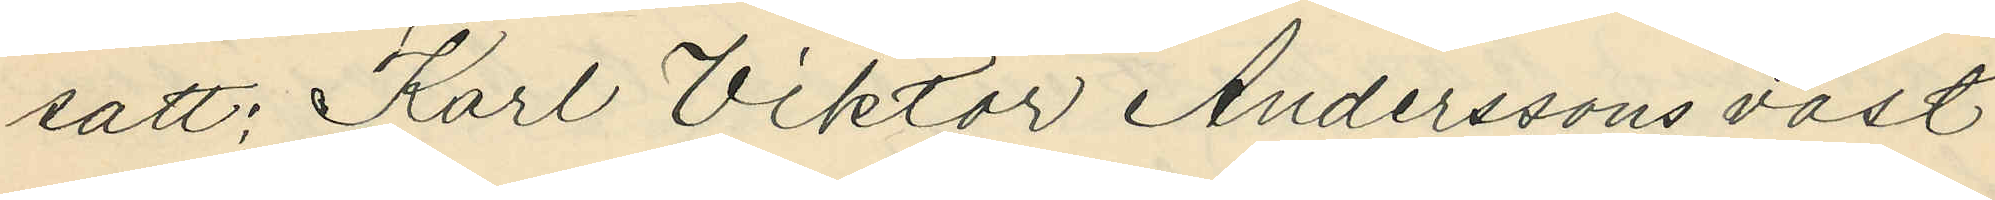sätt: Karl Viktor Anderssons väst
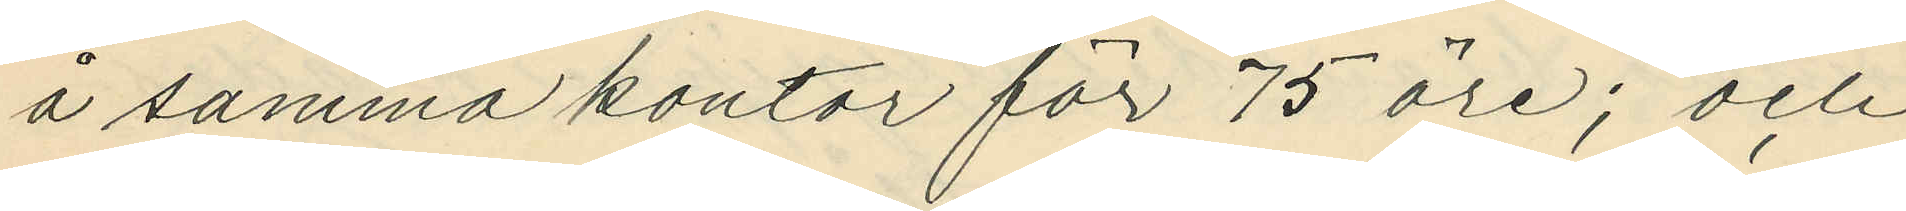å samma kontor för 75 öre; och
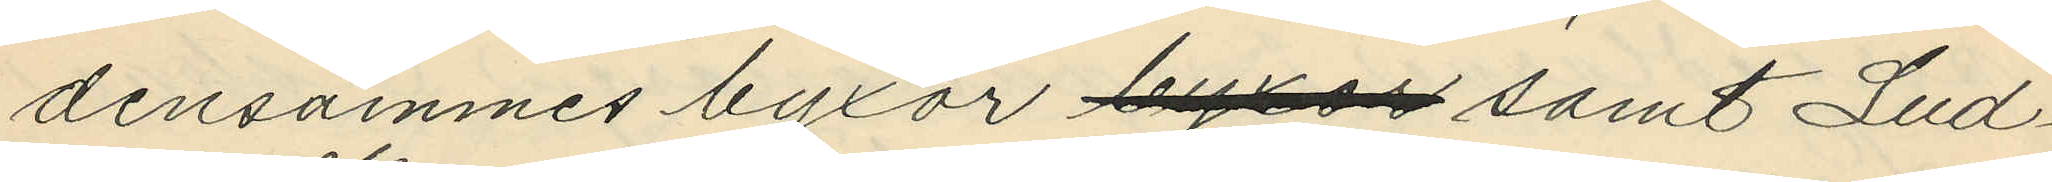densammes byxor byxor samt Lud¬
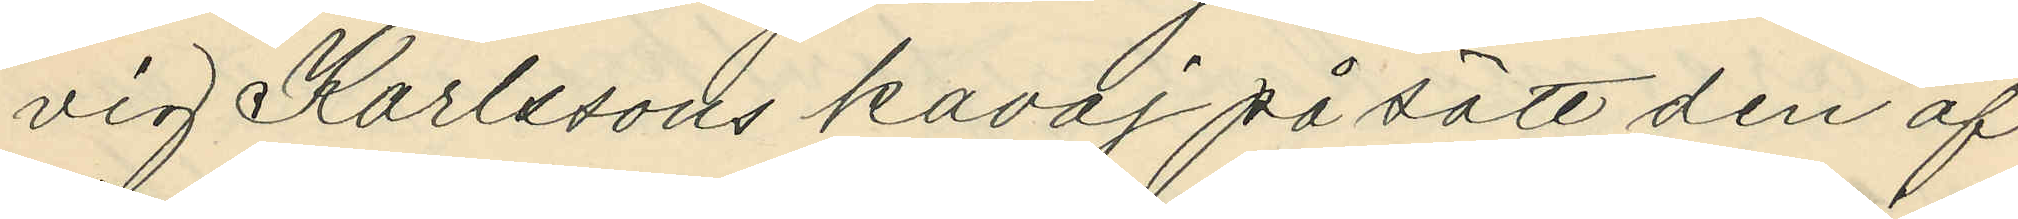vig Karlssons kavaj då sätt den af
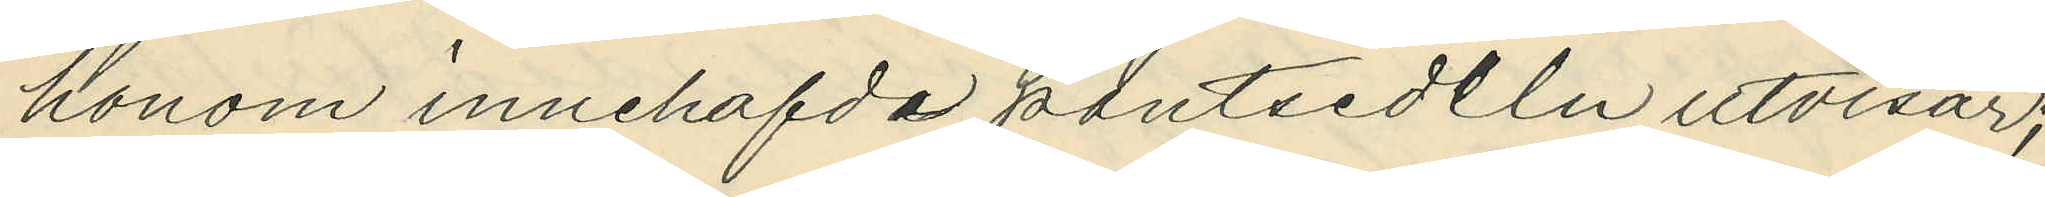honom innehafvda pantsedeln utvisar;
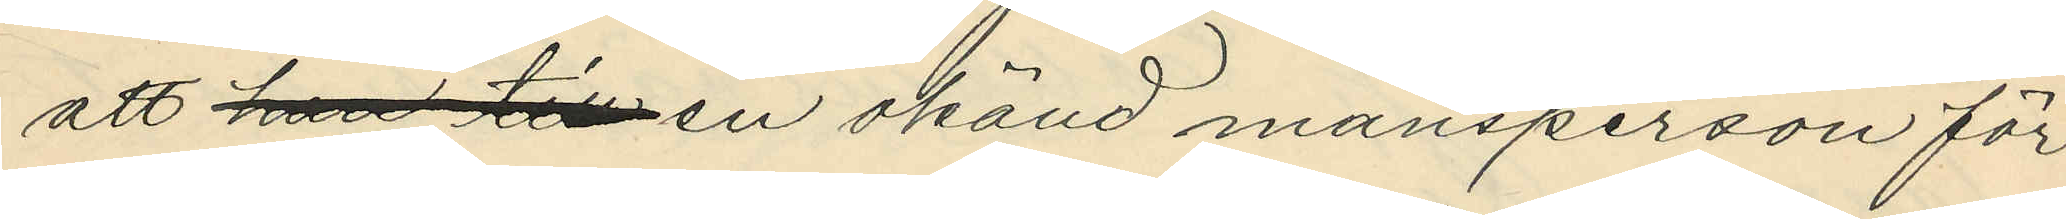att han till en okänd mansperson för
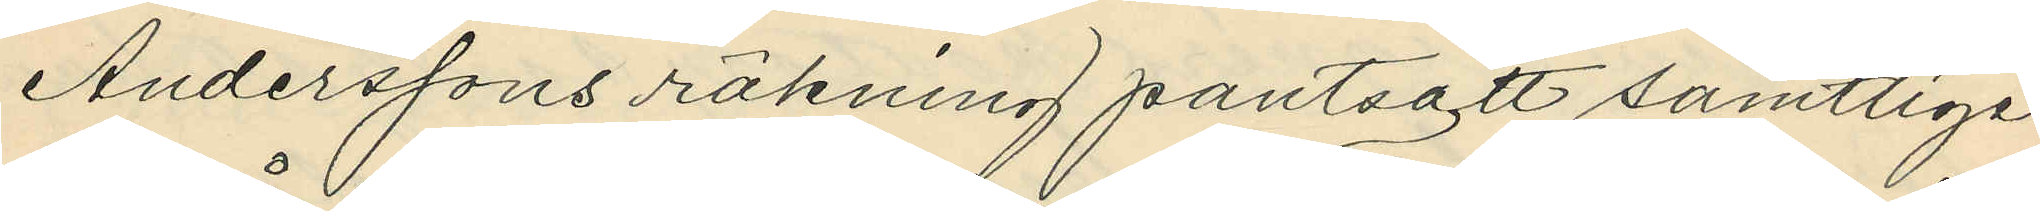Anderssons räkning pantsatt samtlige
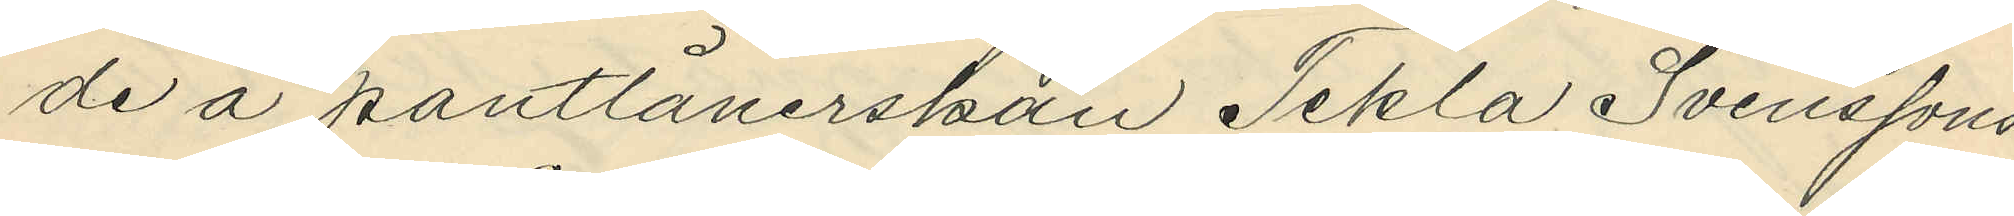de å pantlånerskan Tekla Svenssons
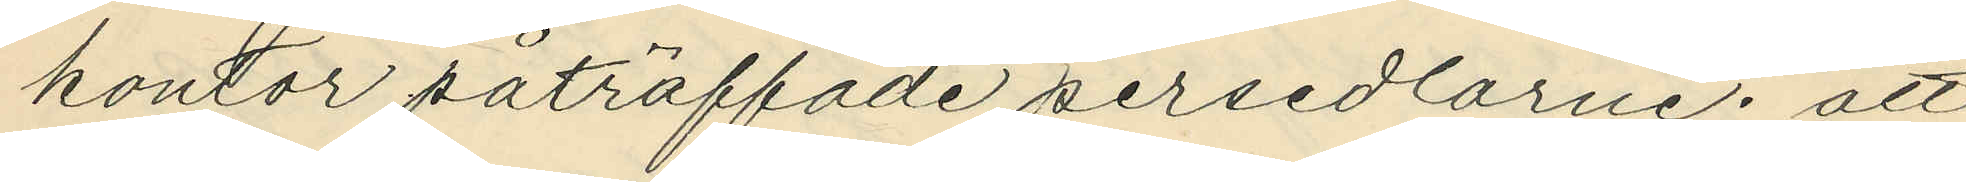kontor påträffade persedlarne; att
